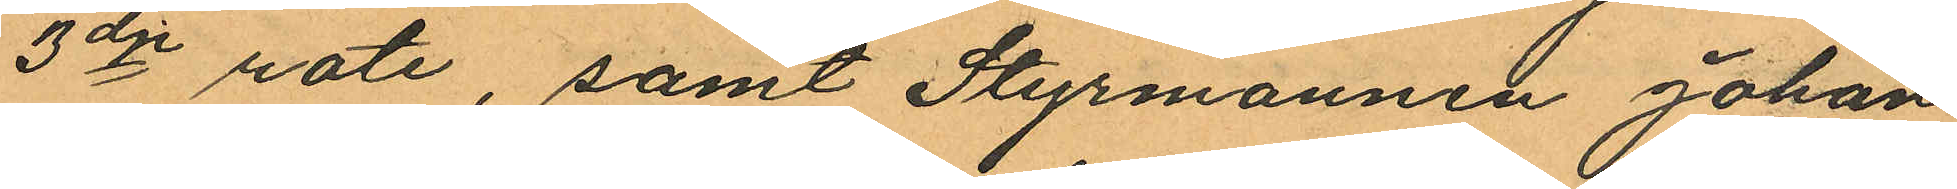3dje rote, samt Styrmannen Johan
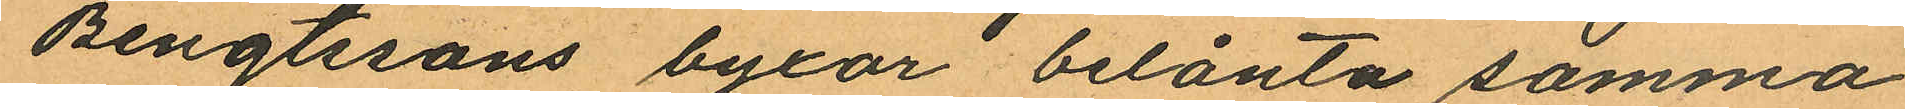Bengtssons byxor belånta samma
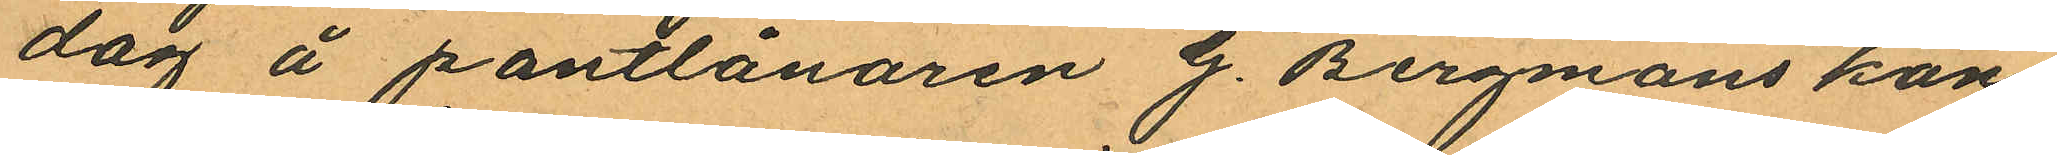dag å pantlånaren G. Bergmans kon¬
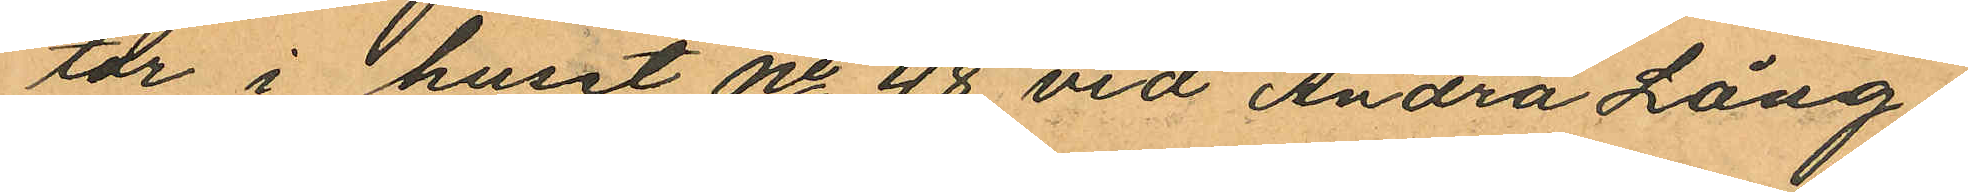tor i huset No 48 vid Andra Lång¬
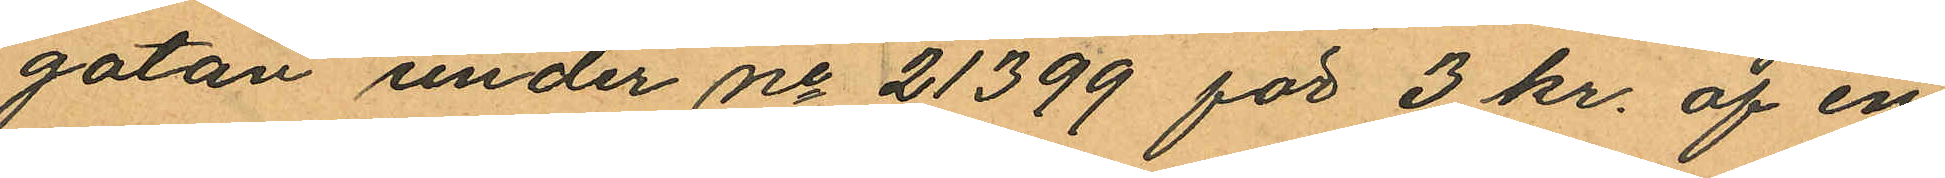gatan under No 21399 för 3 kr. af en
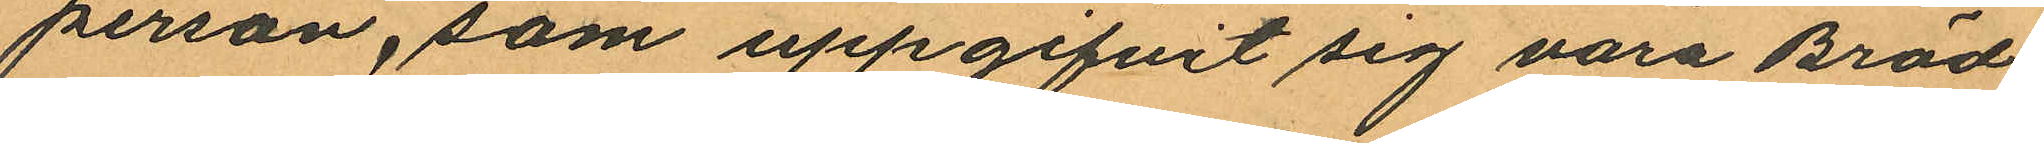person, som uppgifvit sig vara Bräd¬
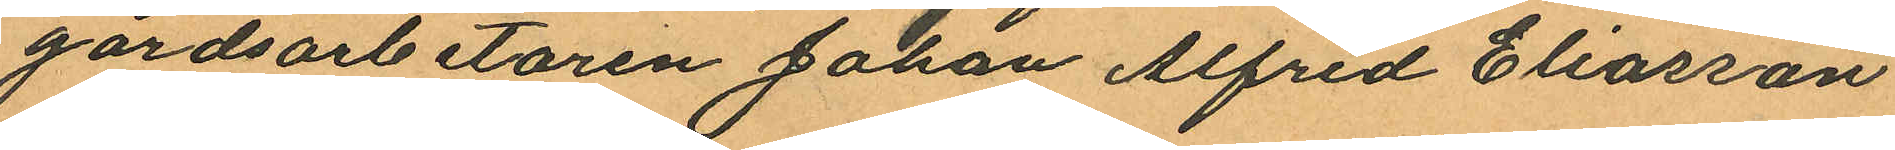gårdsarbetaren Johan Alfred Eliasson
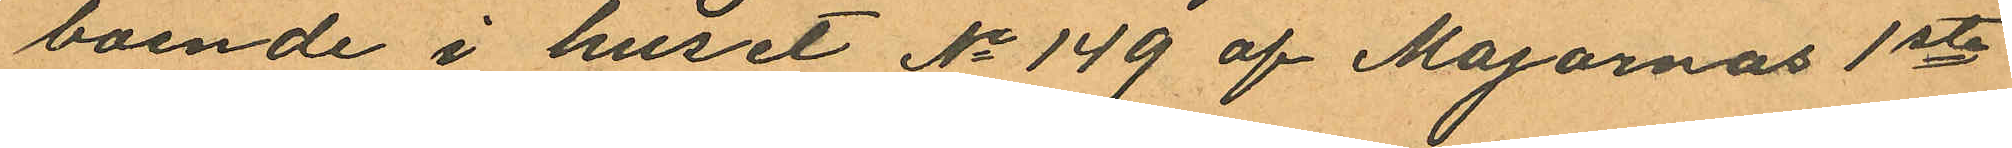boende i huset No 149 af Majornas 1sta
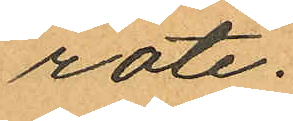rote.
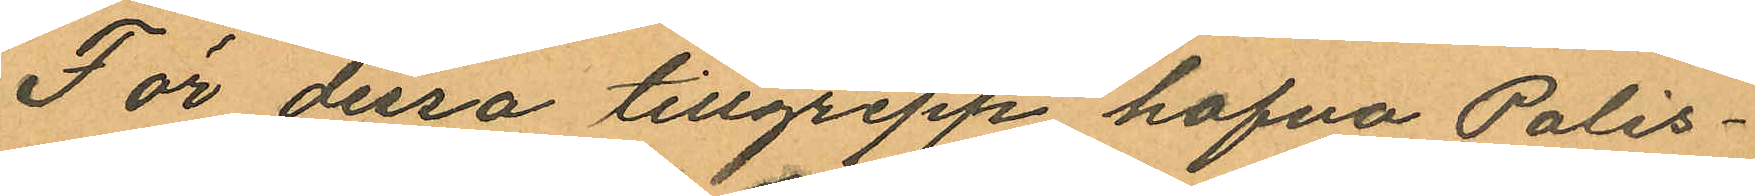För dessa tillgrepp hafva Polis¬
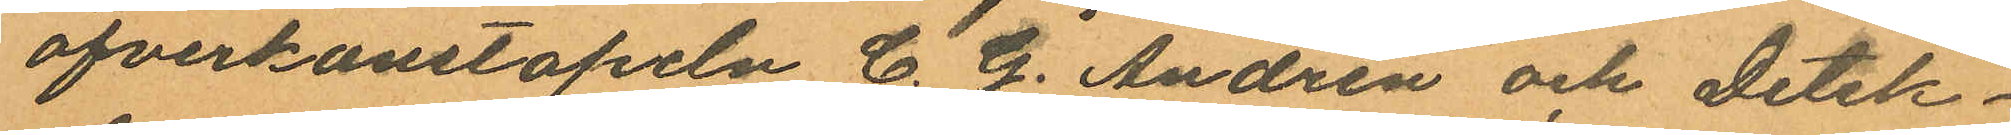öfverkonstapeln C. G. Andrén och detek¬
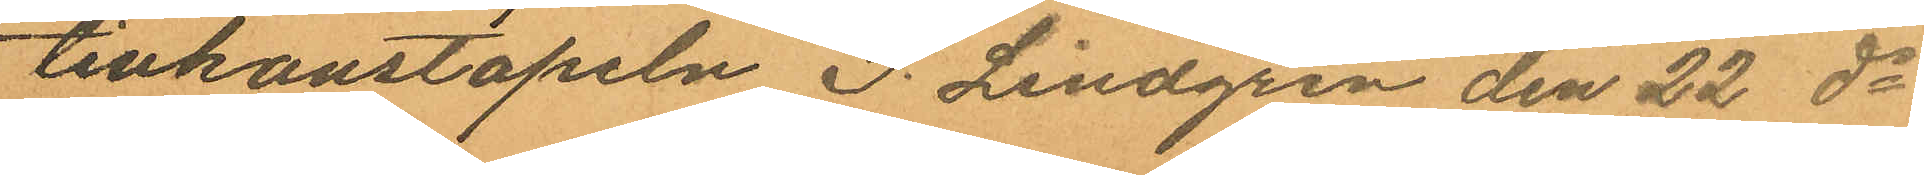tivkonstapeln P. Lindgren den 22 ds
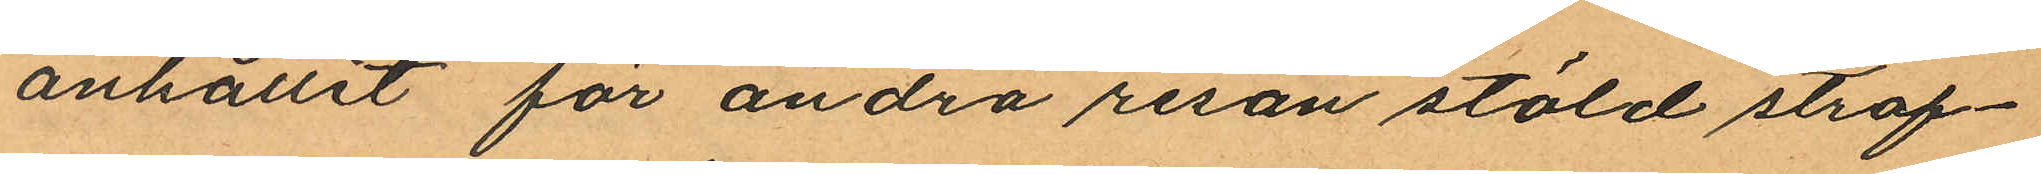anhållit för andra resan stöld straf¬
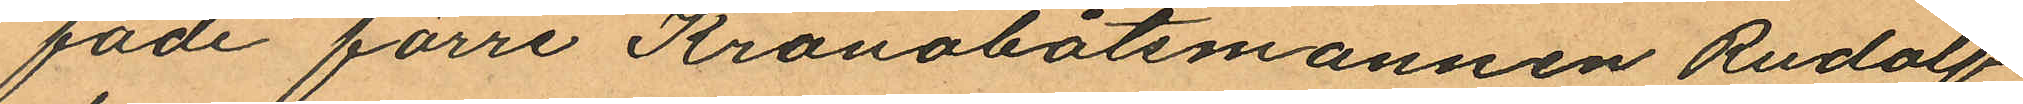fade förre Kronobåtsmannen Rudolf
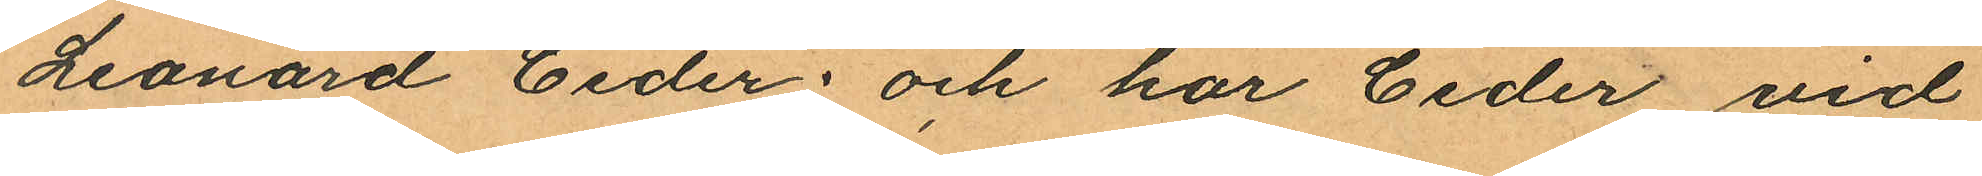Leonard Ceder; och har Ceder vid
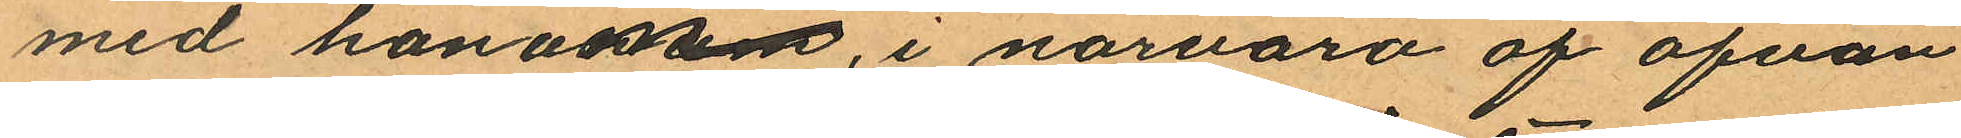med honom, i närvaro af ofvan¬
